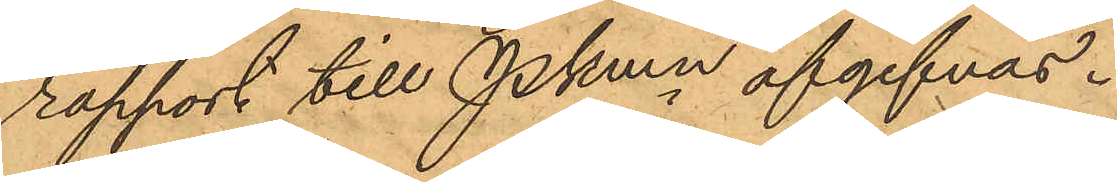rapport till Pkmn afgifvas.
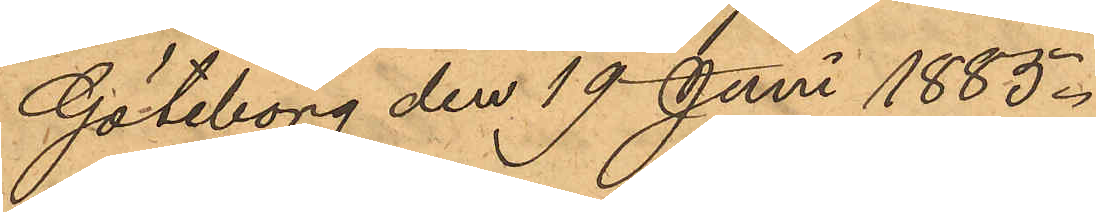Göteborg den 19 Juni 1885.
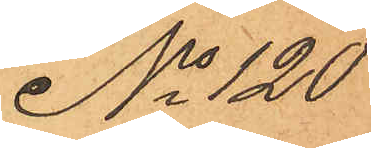No 120
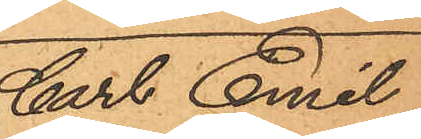Carl Emil
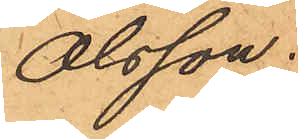Olsson.
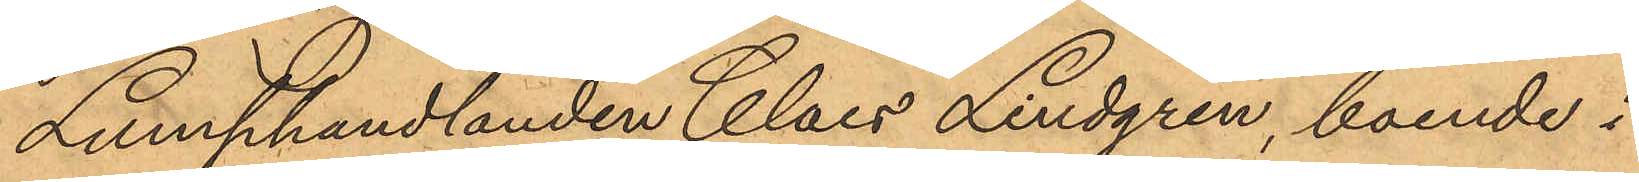Lumphandlanden Claes Lindgren, boende i
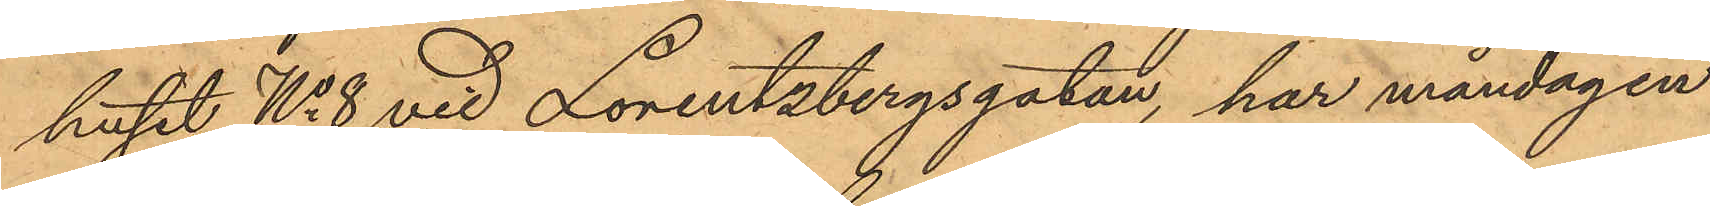huset No 8 vid Lorentzbergsgatan, har måndagen
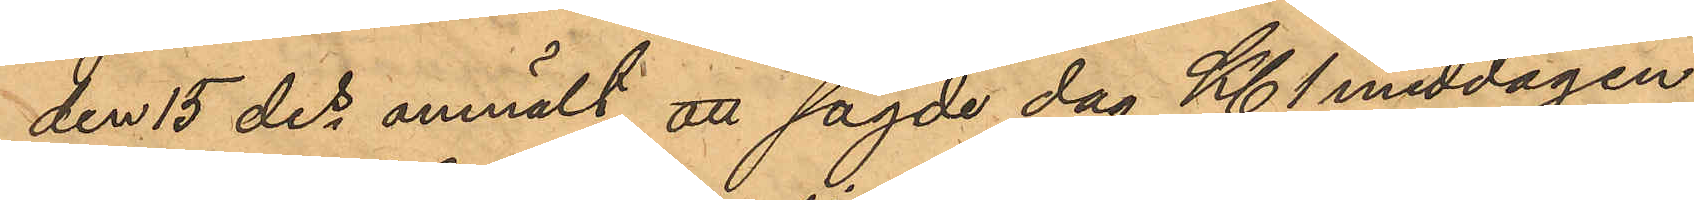den 15 des anmält att sagde dag Kl. 1 middagen
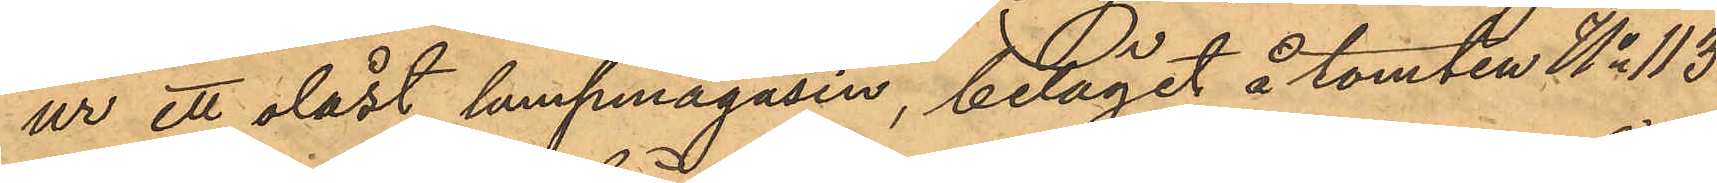ur ett olåst lumpmagasin, beläget å tomten No 113
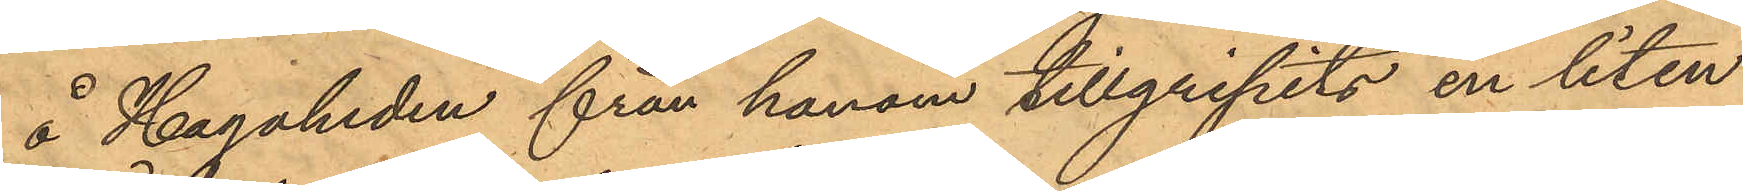å Hagaheden från honom tillgripits en liten
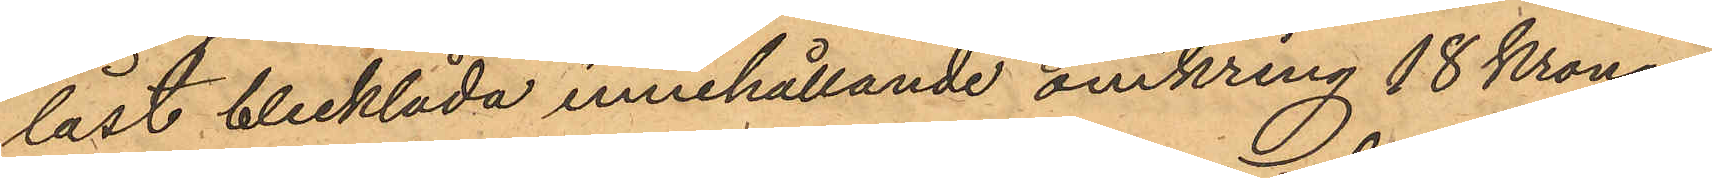låst blecklåda innehållande omkring 18 Kronor,
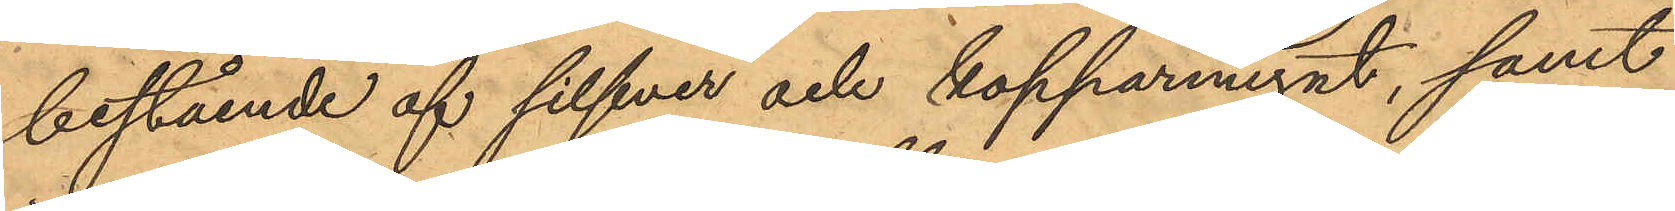bestående af silfver och kopparmynt, samt
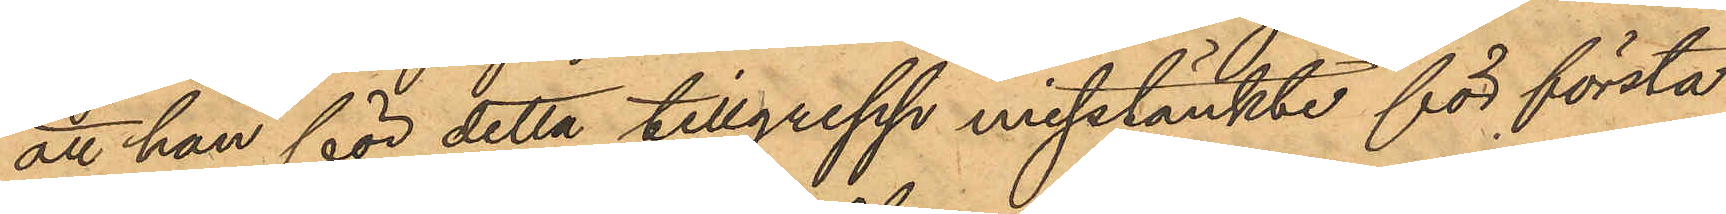att han för detta tillgrepp misstänkte för första
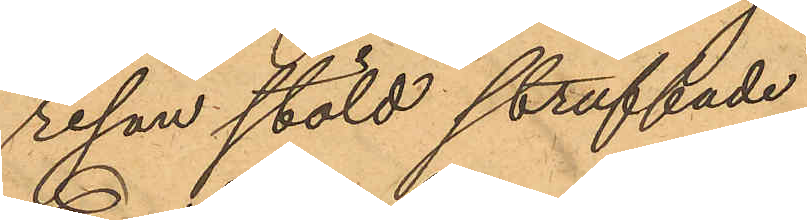resan stöld straffade
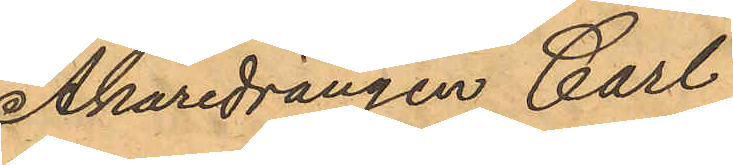Åkaredrängen Carl
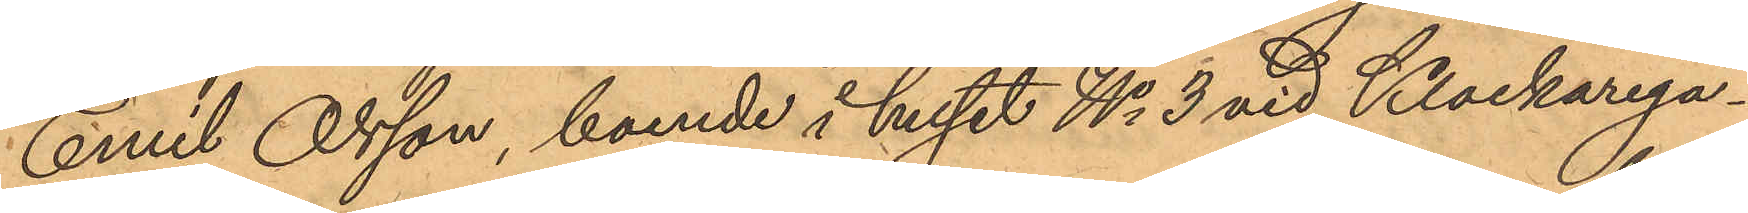Emil Olsson, boende i huset No 3 vid Klockarega¬
